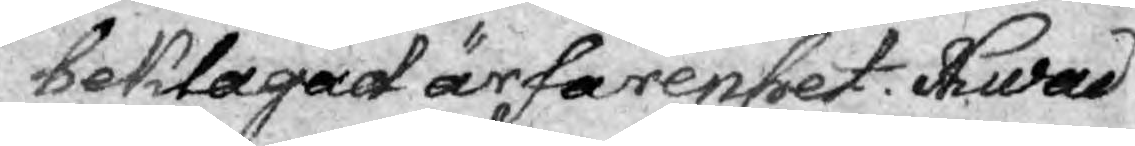beklagad ärfarenehet. Hwad
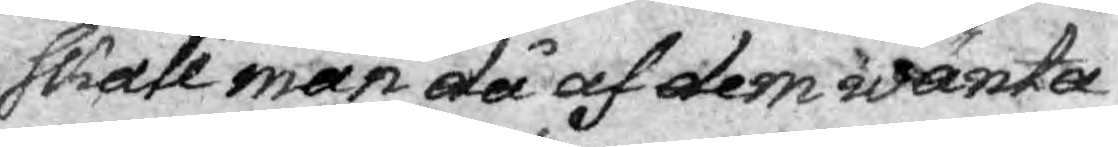skole man då af dem wänta
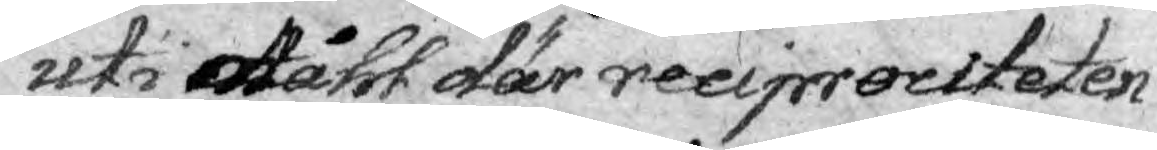uti måhl där reciprociteten
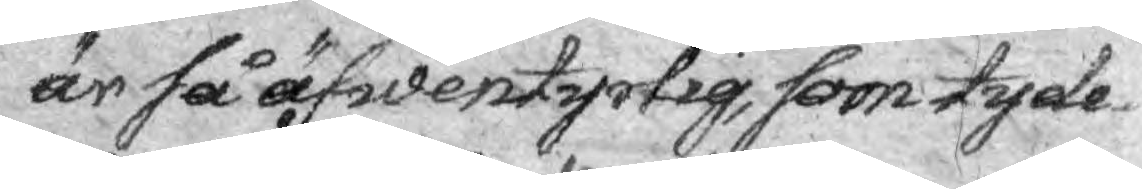är så äfwentyrlig, som tyde-
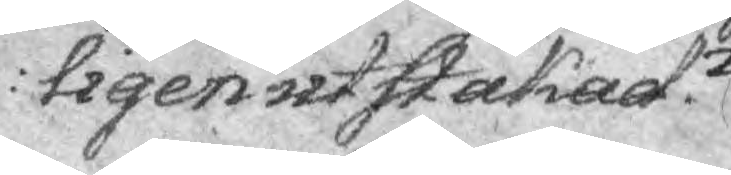ligen utstakad?
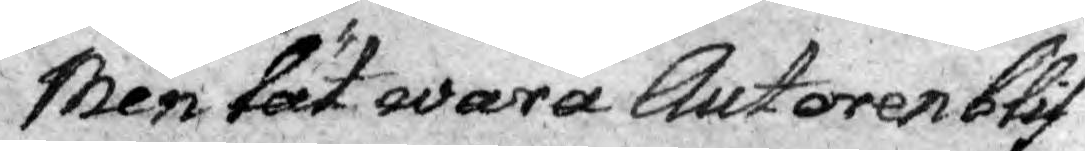Men lät wara Autoren blif¬
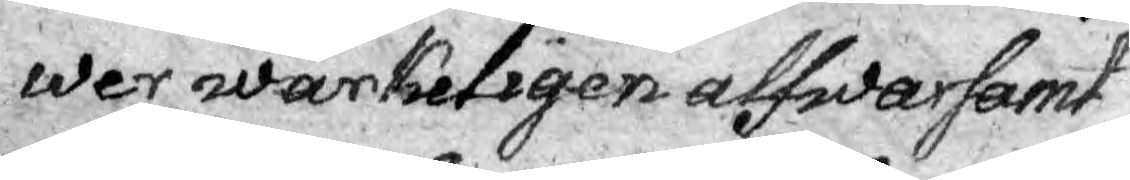wer wärkeligen alfwarsamt
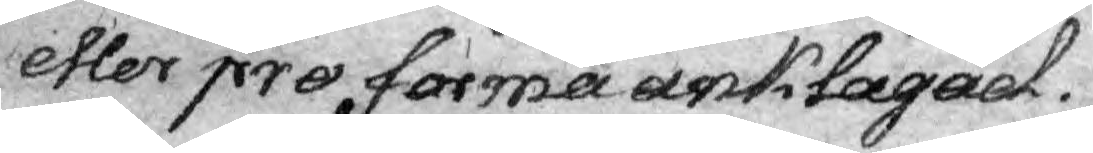eller pro forma anklagad.
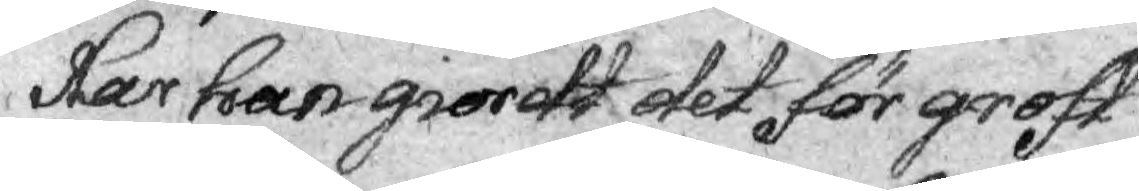Har han grordt det för groft
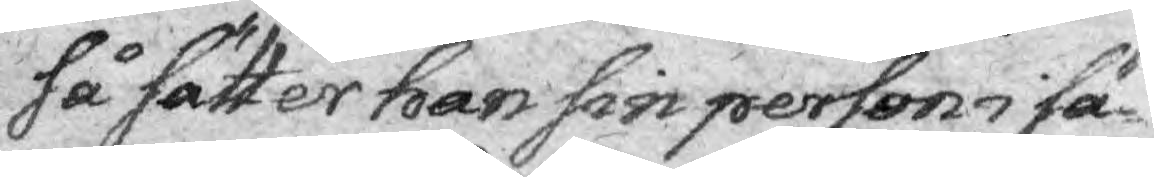så sätter han sin person i sä¬
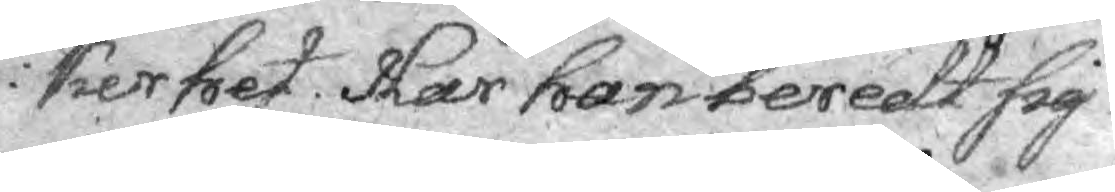kerhet. Har han beredt sig
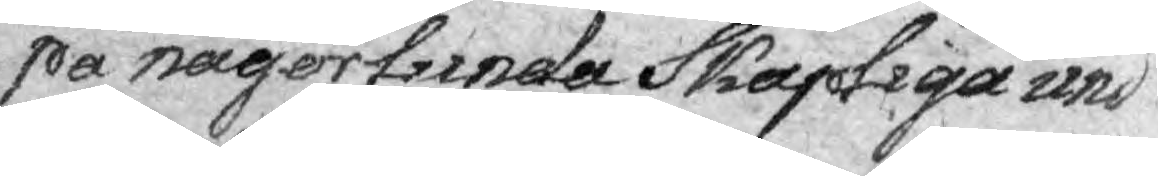på någorlunda kapliga und¬
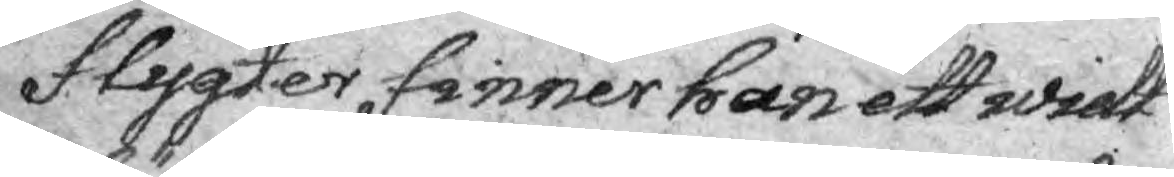flygter finner han ett widt
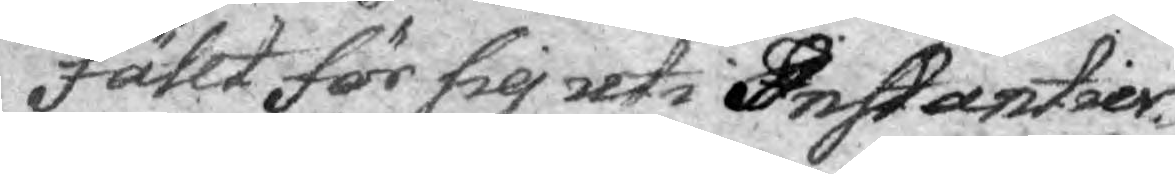fält för sig uti Instantier¬
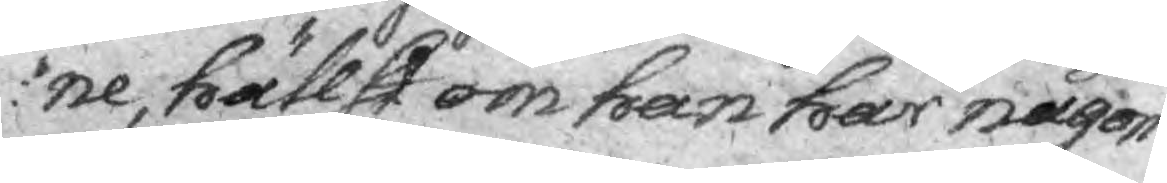ne, hällst om han har någon
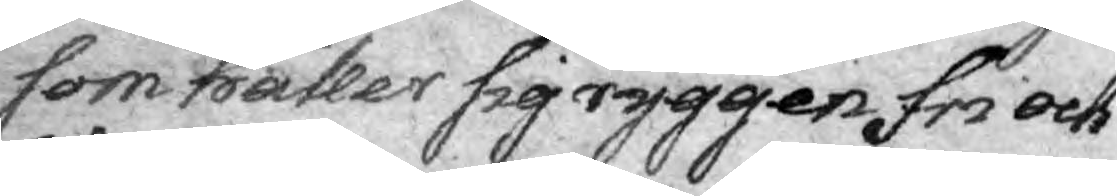som håller sig ryggen fri och
